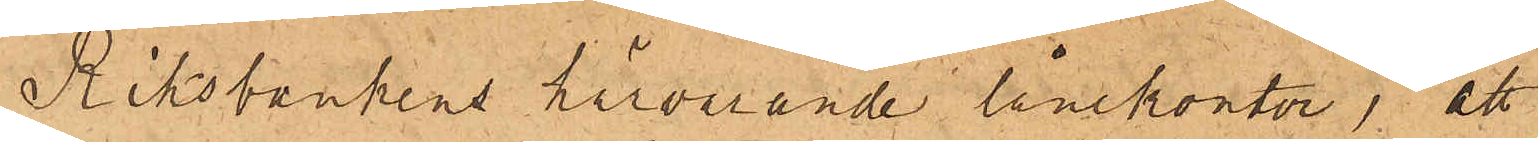Riksbankens härvarande lånekontor, att
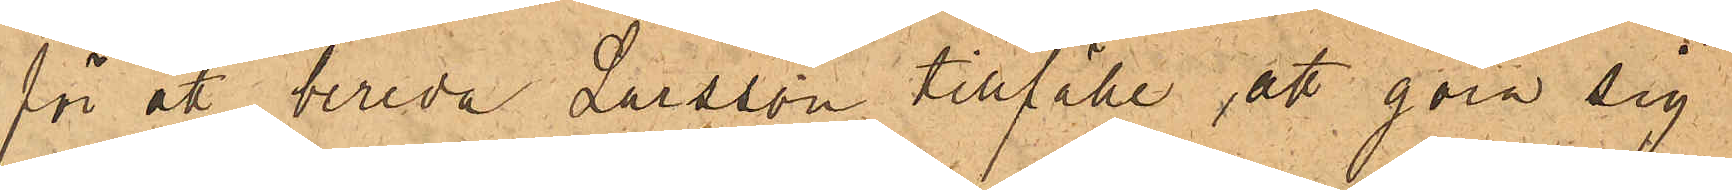för att bereda Larsson tillfälle, att göra sig
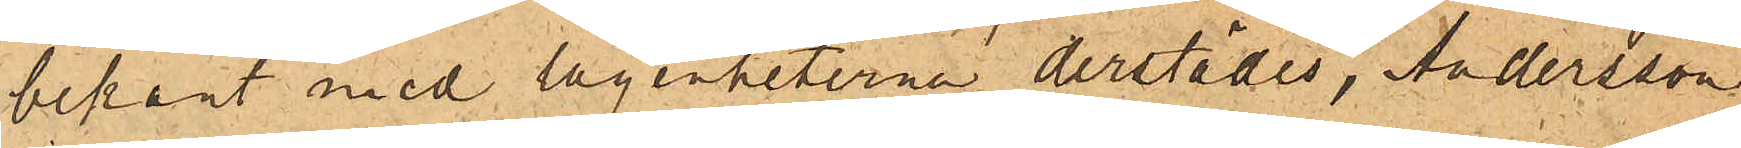bekant med lägenheterna derstädes, Andersson
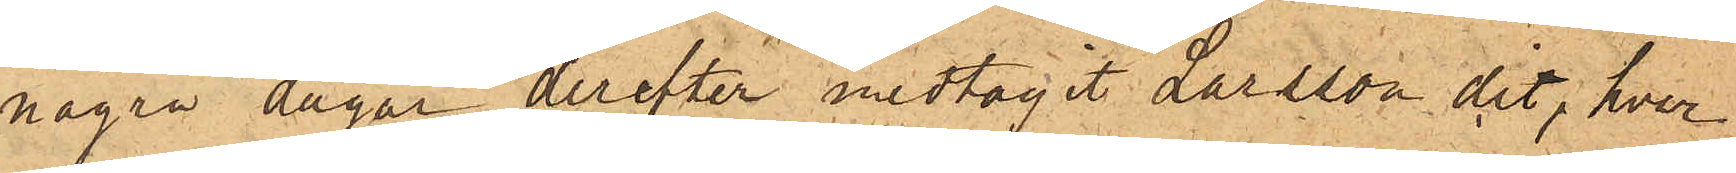några dagar derefter medtagit Larsson dit, hvar¬
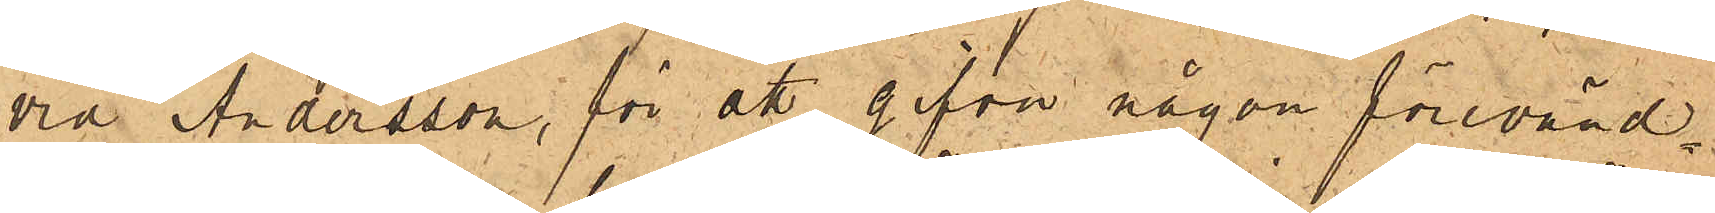vid Andersson, för att  gifva någon förevänd¬
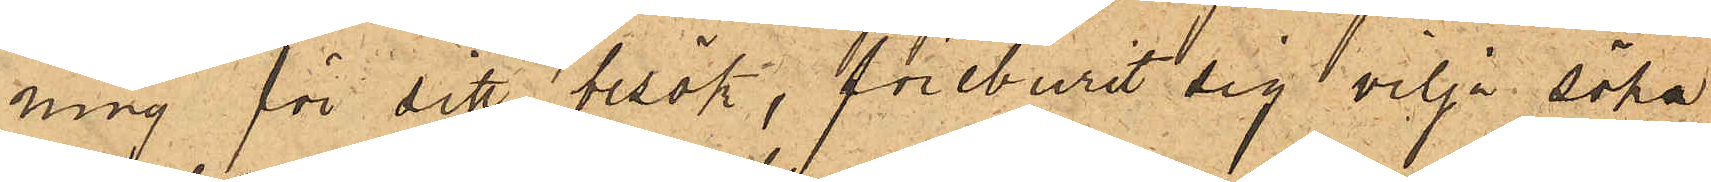ning för ditt besök, föreburit sig vilja söka
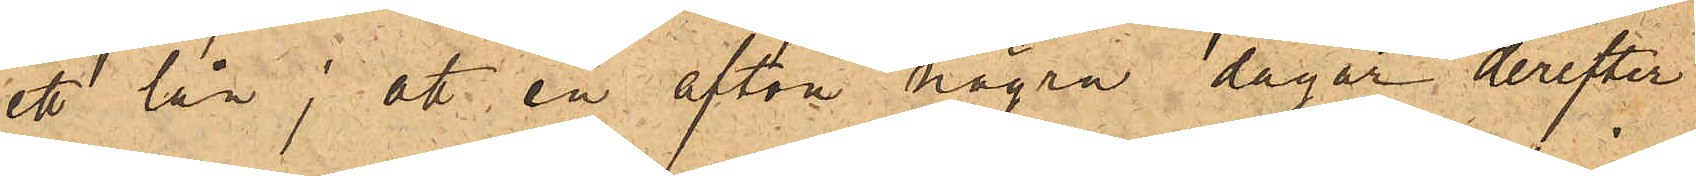ett lån; att en afton några dagar derefter
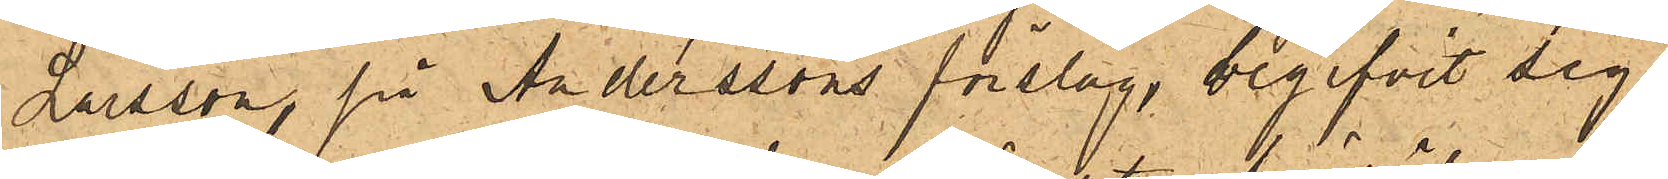Larsson, på Anderssons förslag, begifvit sig
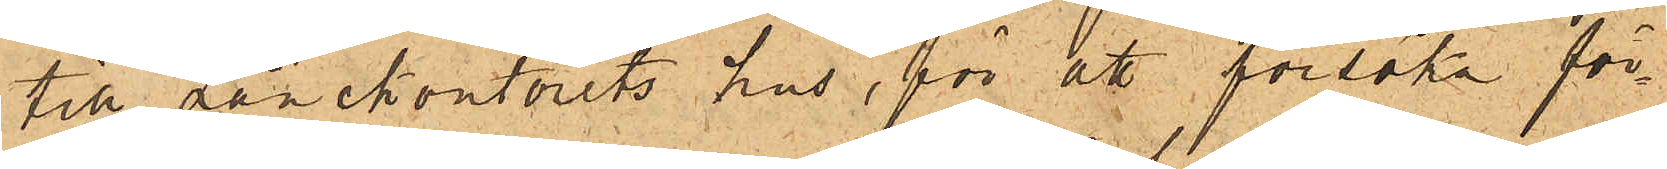till lånekontorets hus, för att försöka för¬
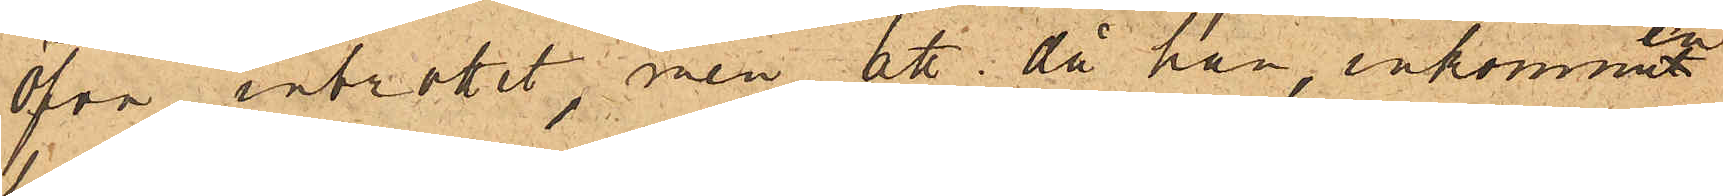öfva inbrottet, men att då han, inkommen
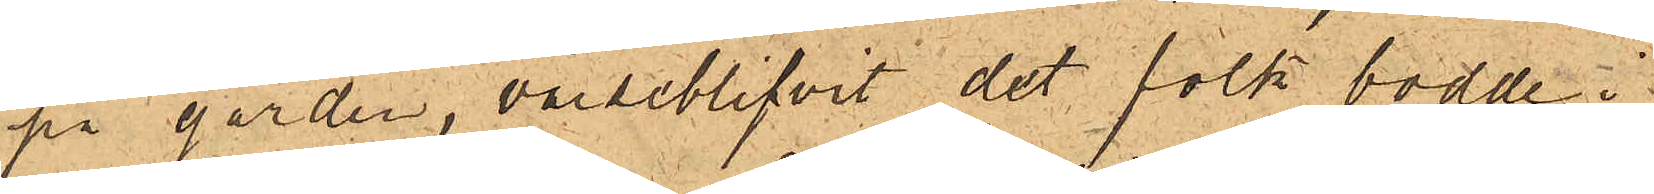på gården, varseblifvit det folk bodde i
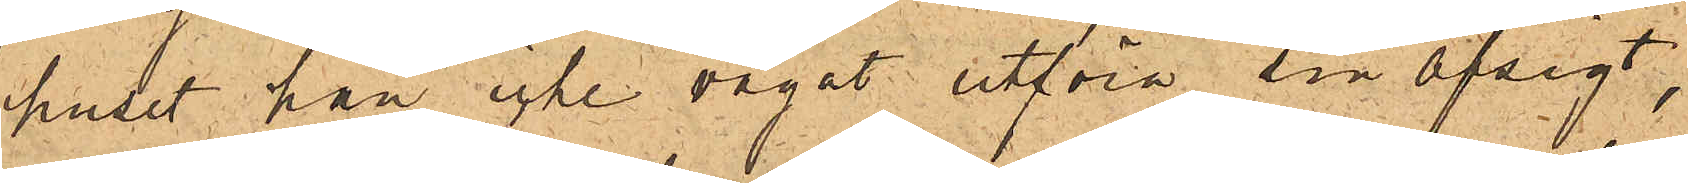huset han icke vågat utföra sin afsigt,
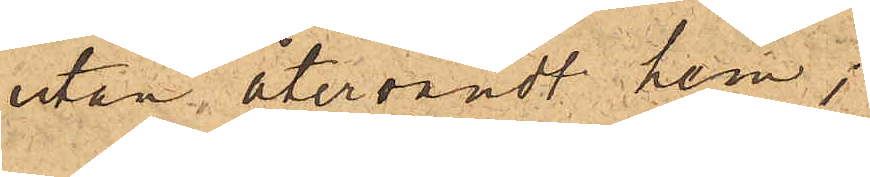utan återvändt hem;
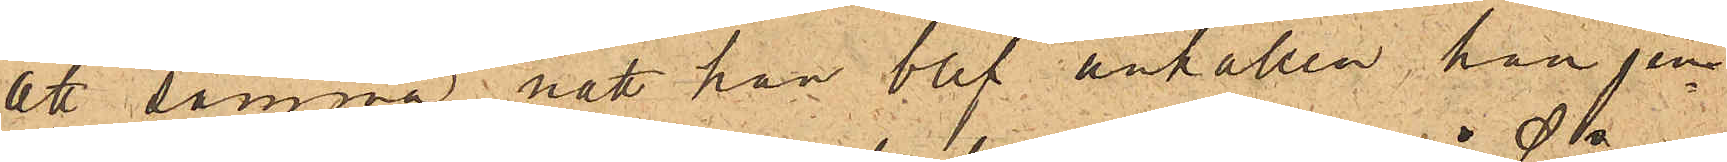att samma natt han blef anhållen, han jem¬
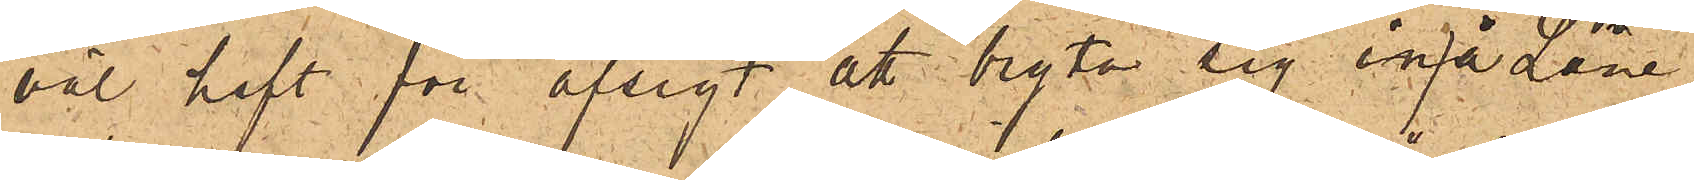väl haft för afsigt att bryta sig in på Låne¬
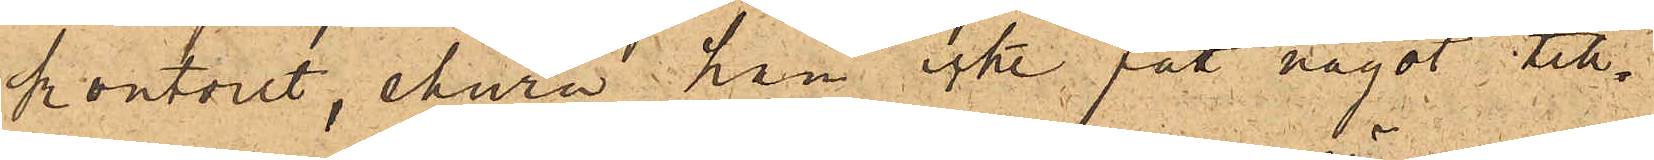kontoret, ehuru han icke fått något till¬
